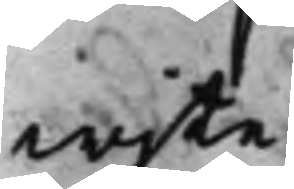wjte.
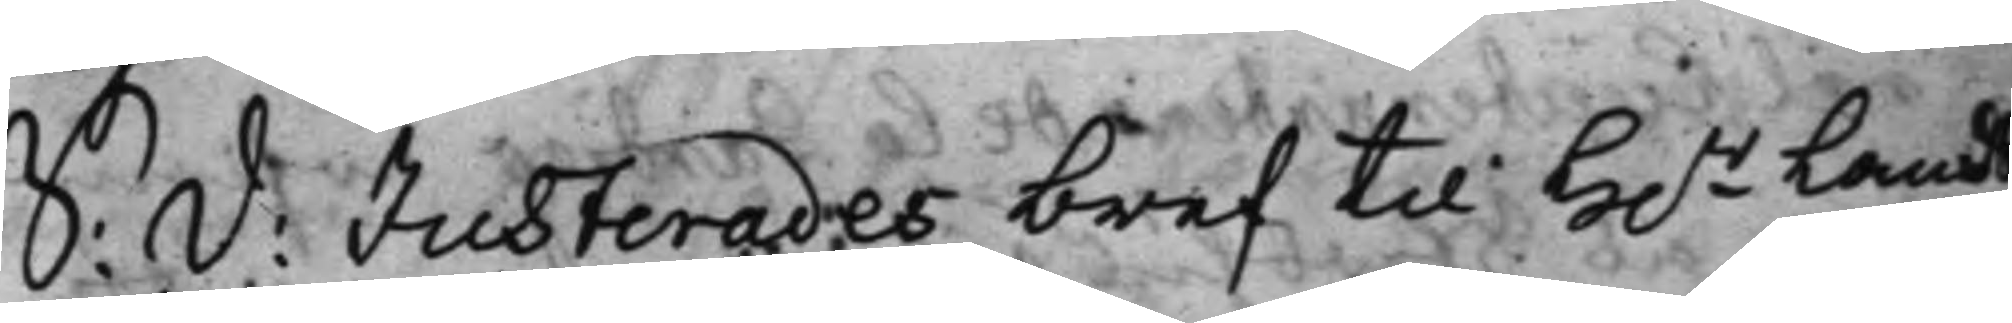S: d: Justerades bref til H.r Lands¬
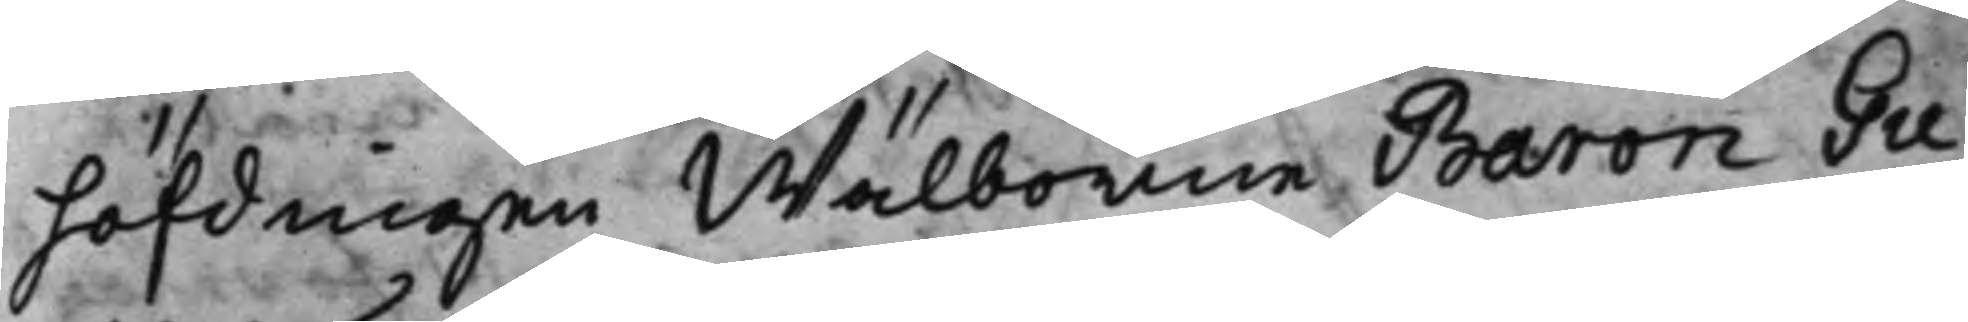höfdingen Wälborne Baron Gu¬
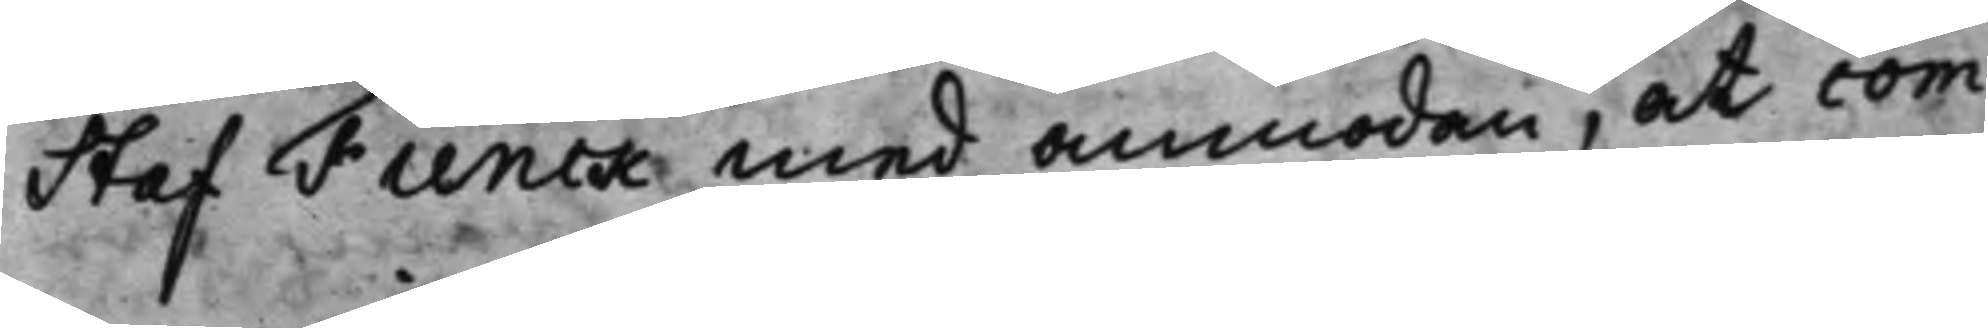staf Flinck med anmodan, at com¬
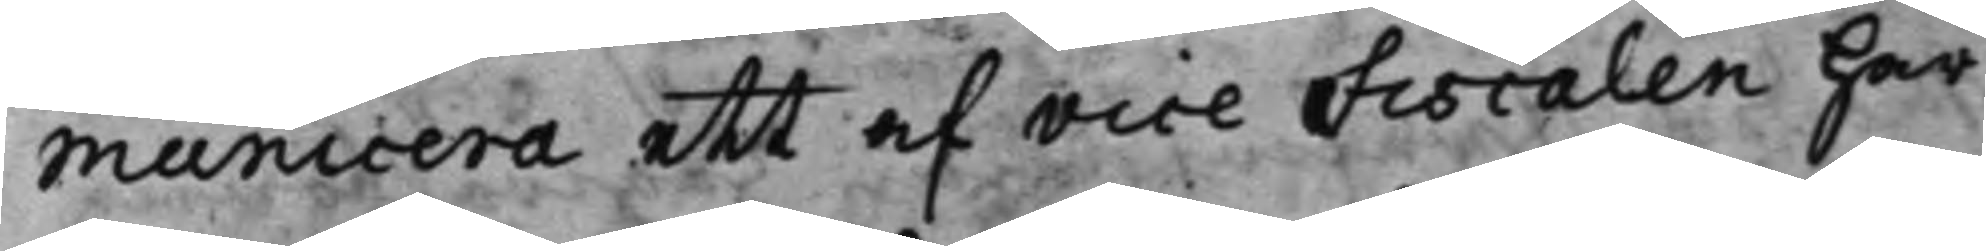municera ett af vice Fiscalen här
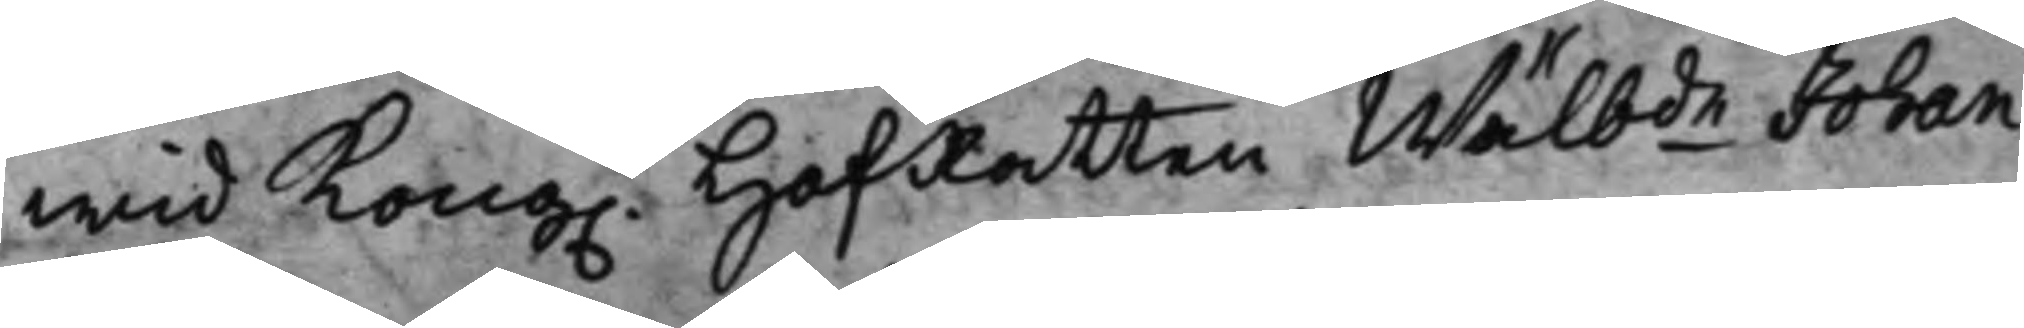wid Kong. HofRatten Wälb.de Johan
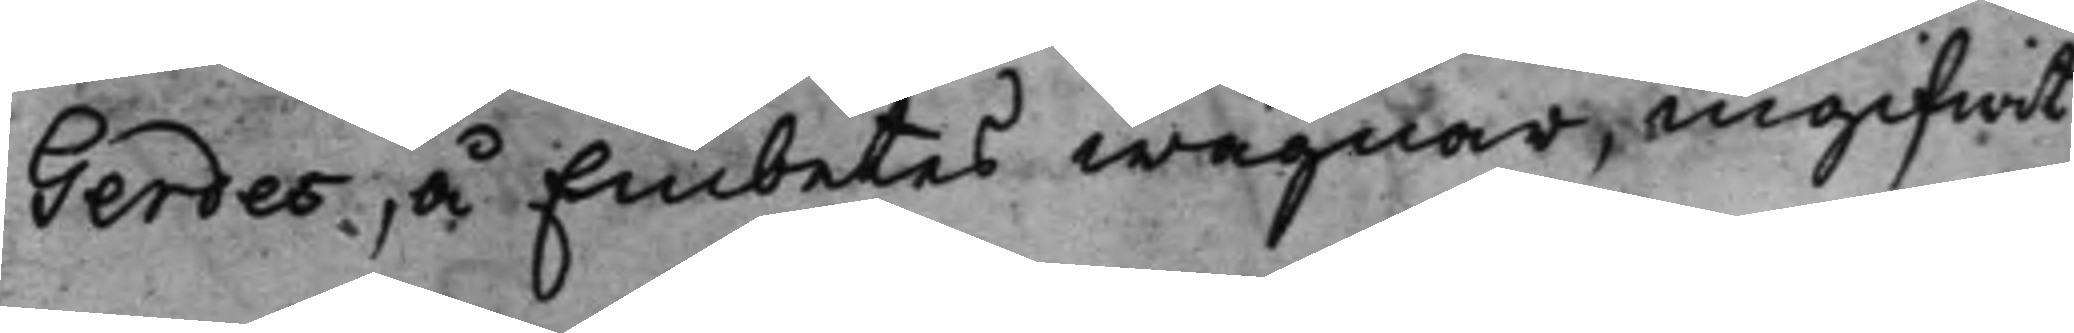Gerdes, å Embetes wägnar, ingifwit
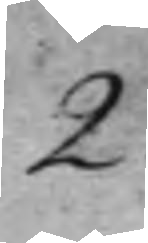2.
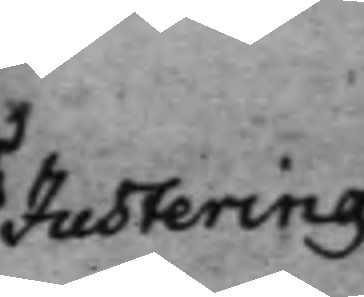Justering
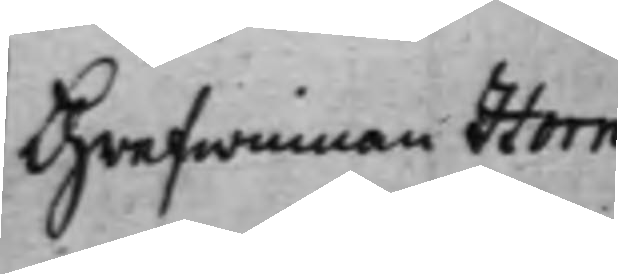Grefwinnan Horn
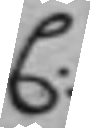C:
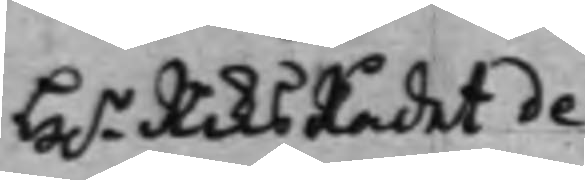H.r RiksRådet de
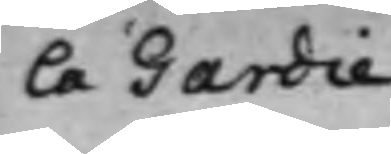la Gardie
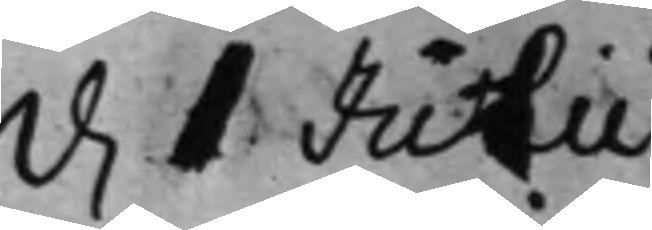d. 1 Julii
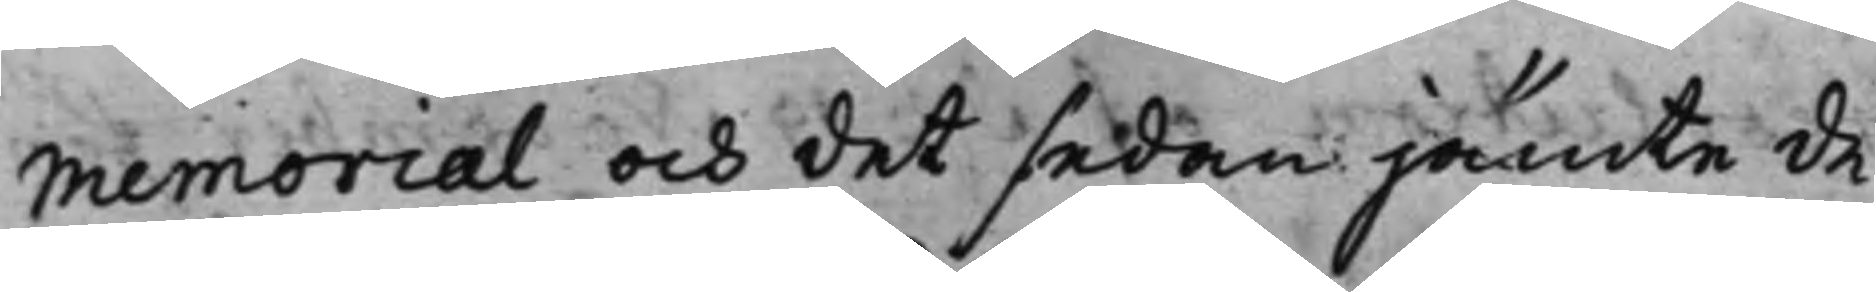Memorial och det sedan jämte de
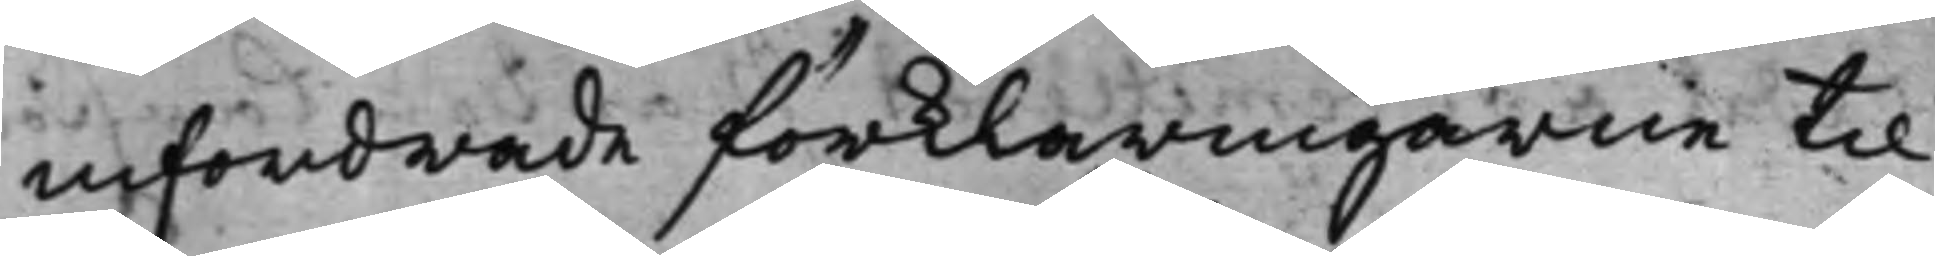infordrade förklaringarne til
